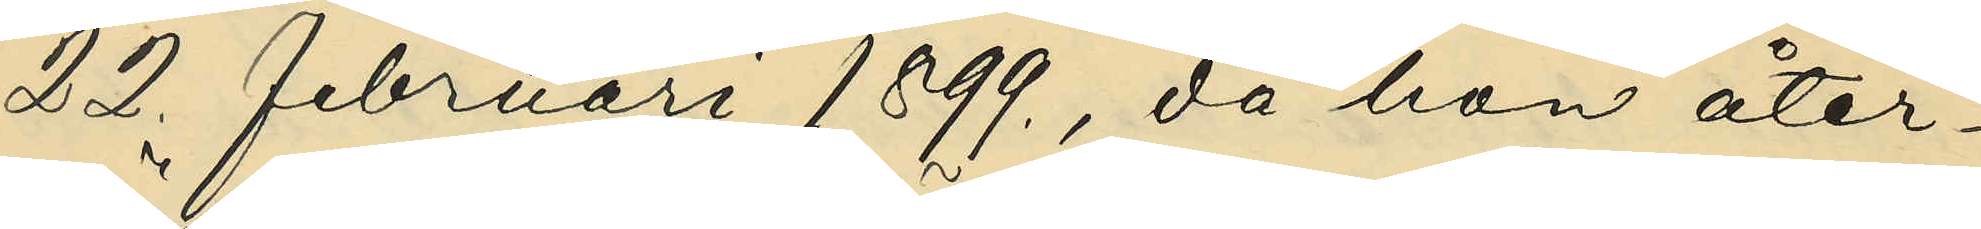22 februari 1899, då hon åter¬
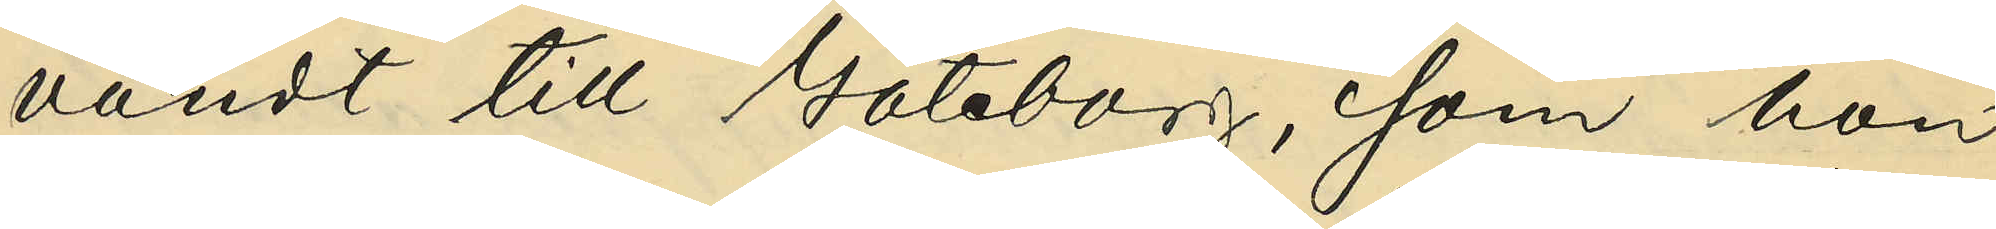vändt till Göteborg, som hon
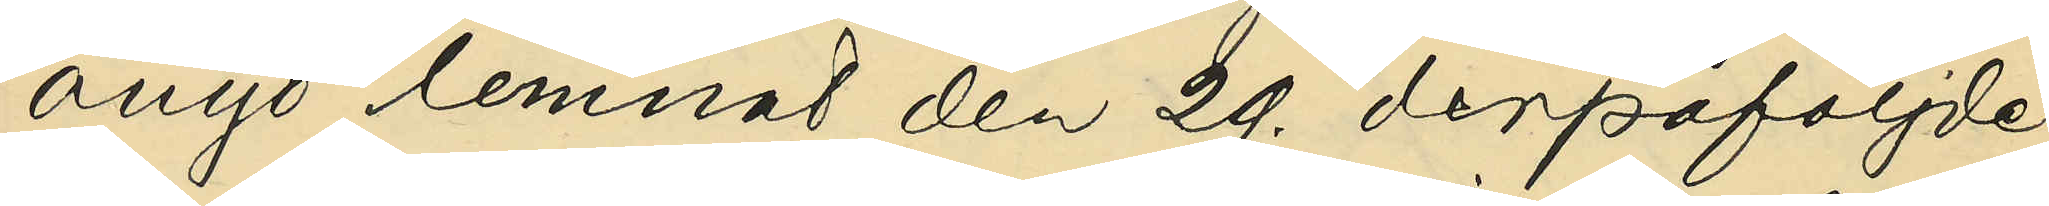ånyo lemnat den 29. derpåföljde
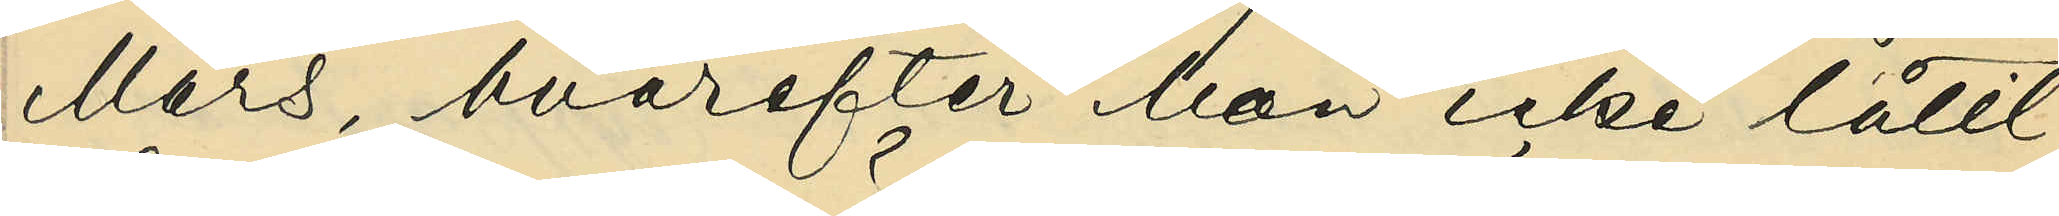Mars, hvarefter hon icke låtit
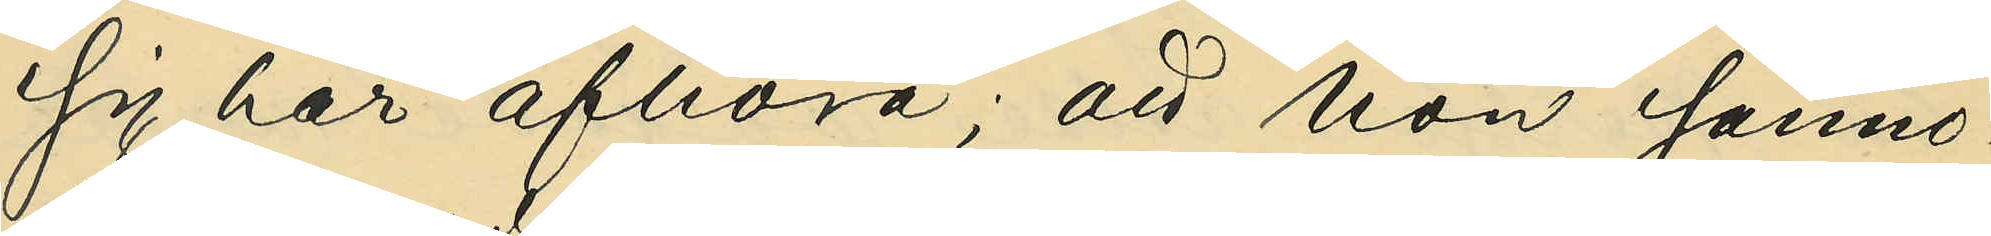sig här afhöra; att hon sanno¬
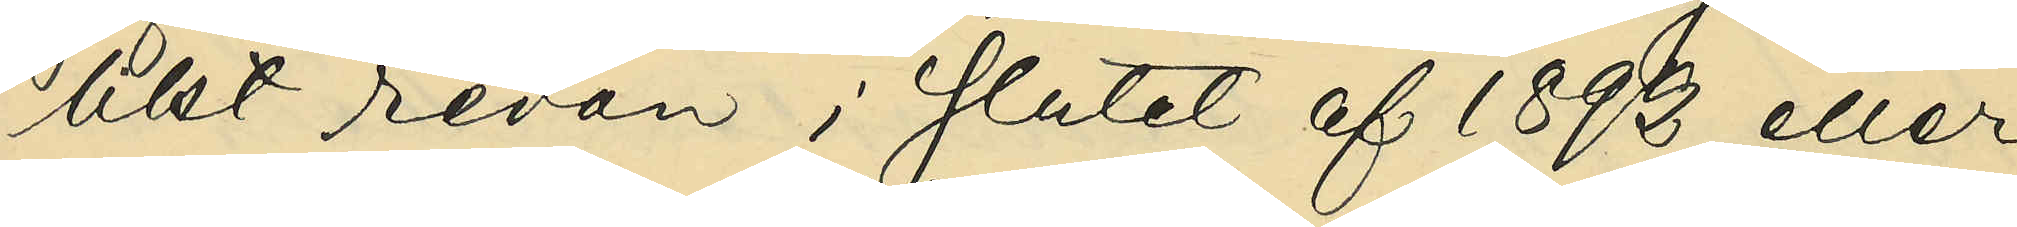likt redan i slutet af 1892 eller
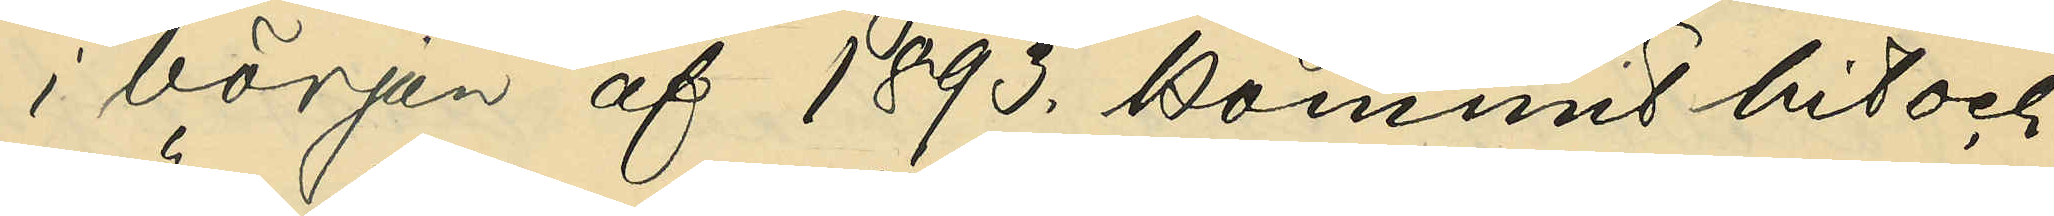i början af 1893. kommit hit och
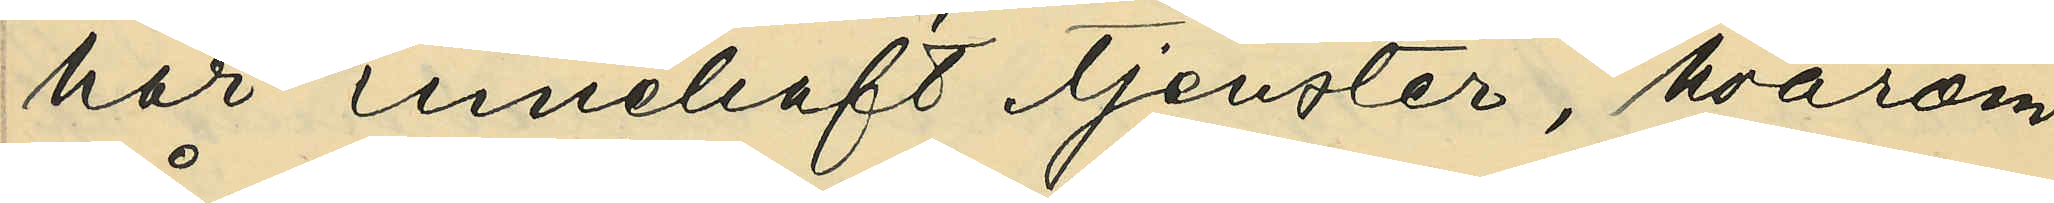här innehaft tjenster, hvarom
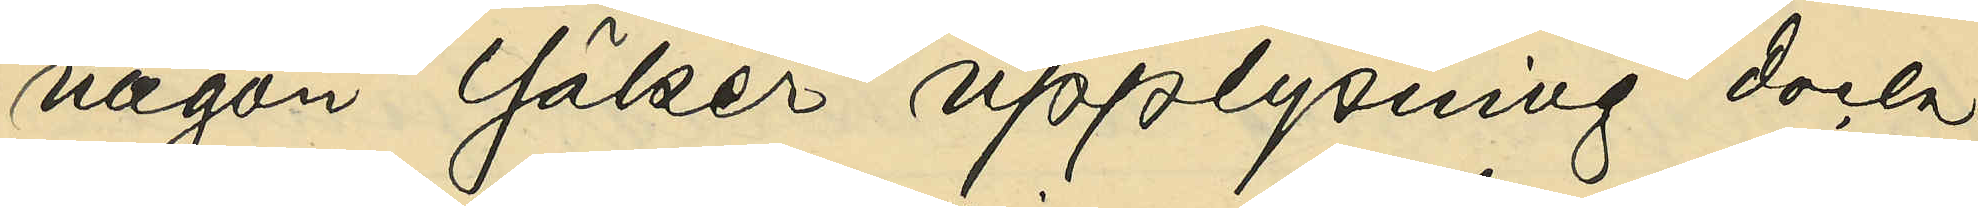någon säker upplysning dock
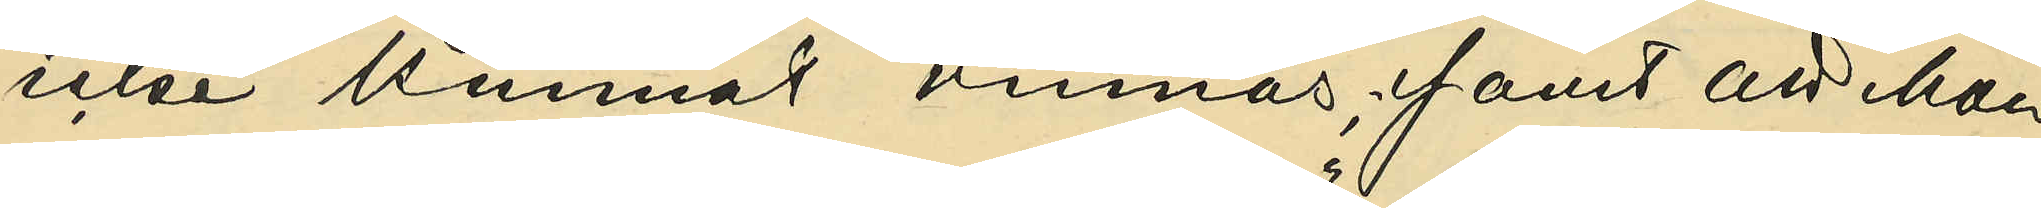icke kunnat vinnas; samt att hon
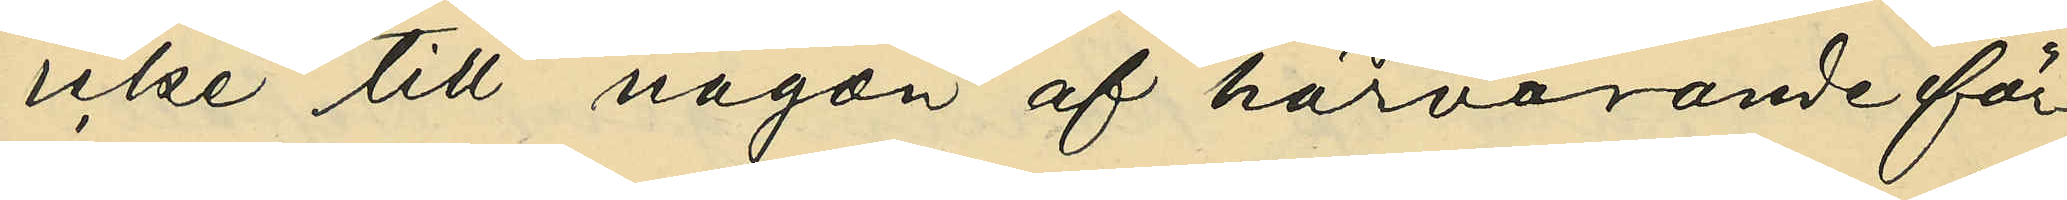icke till någon af härvarande för¬
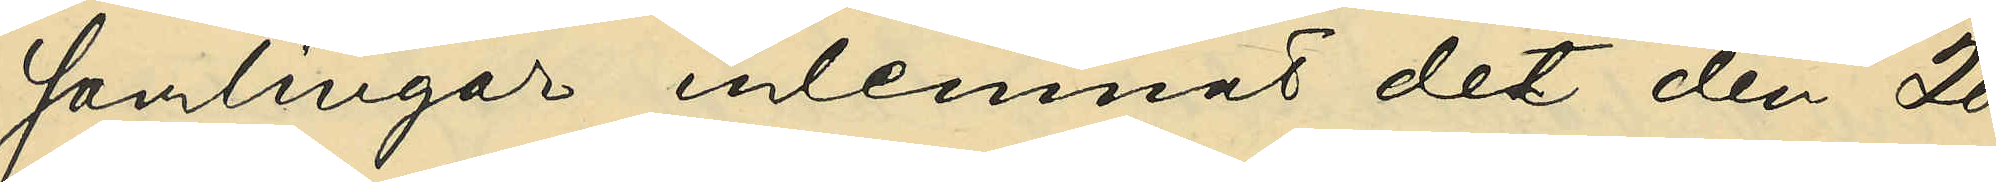samlingar inlemnat det den 20.
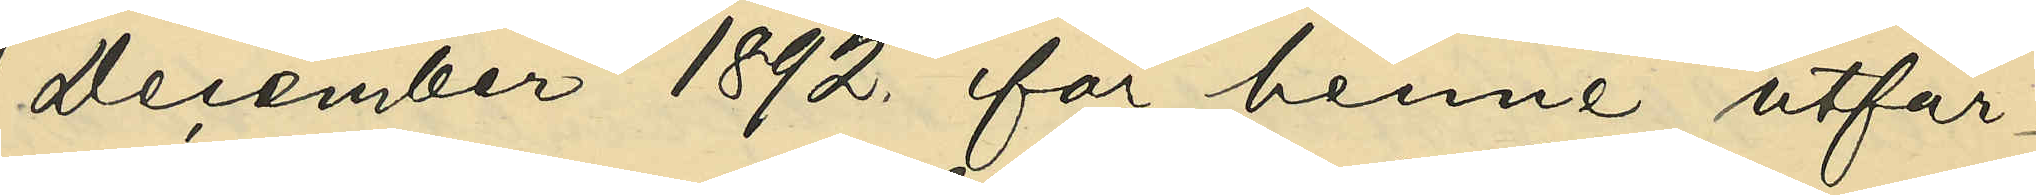December 1892. för henne utfär¬
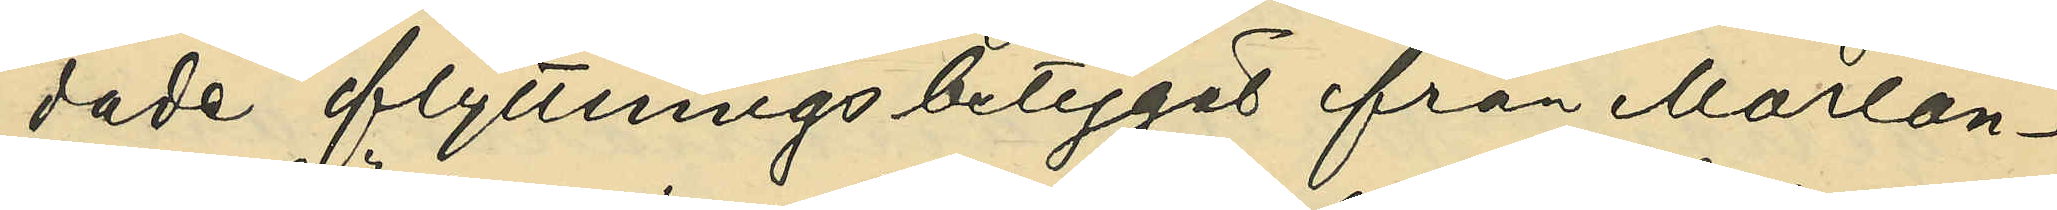dade flyttningsbetyget från Morlan¬
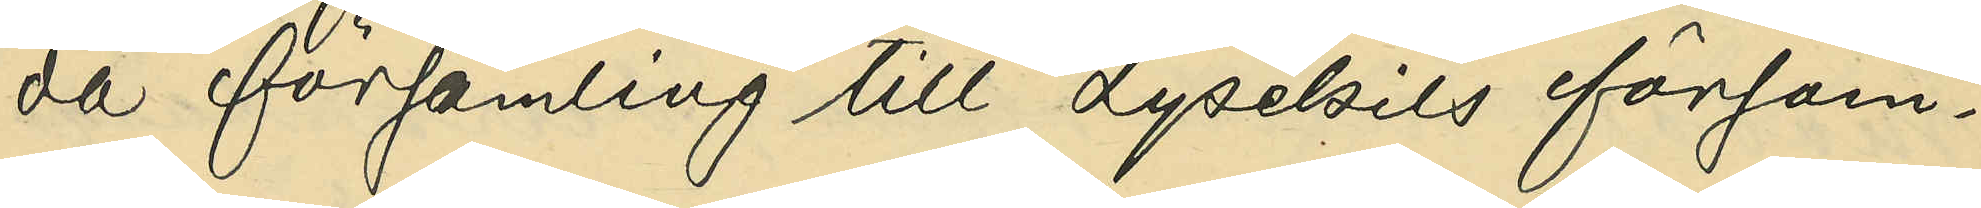da församling till Lysekils försam¬
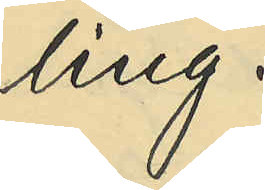ling.
